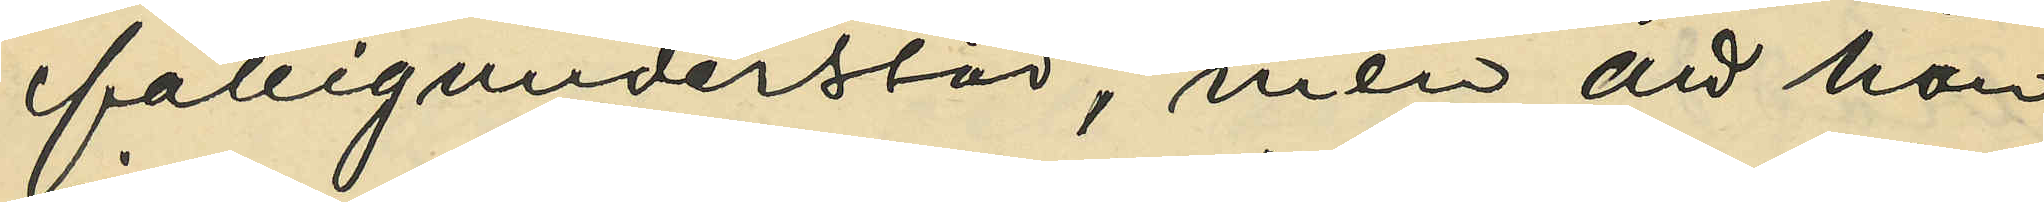fattigunderstöd, men att han
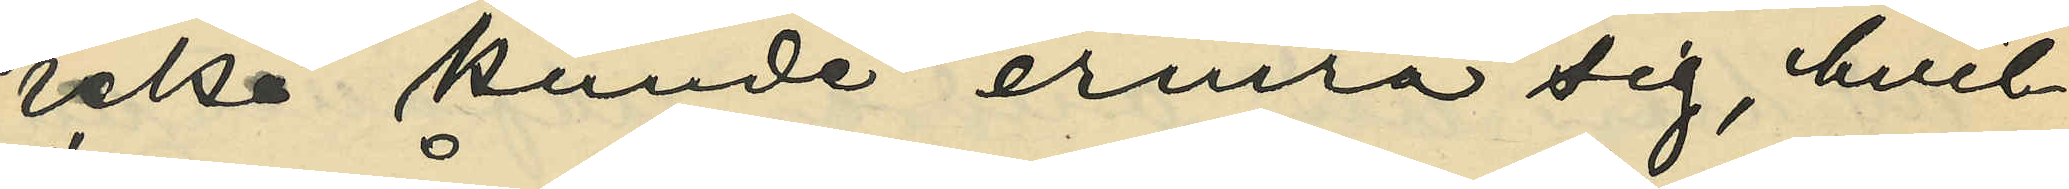icke kunde erinra sig, hvil¬
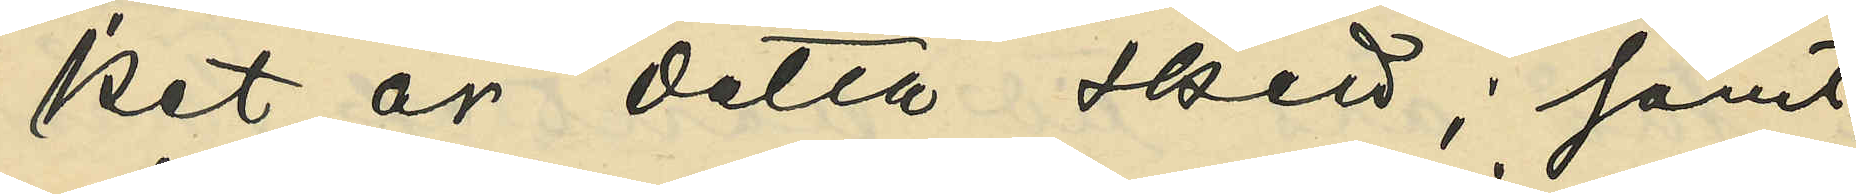ket år detta skett; samt
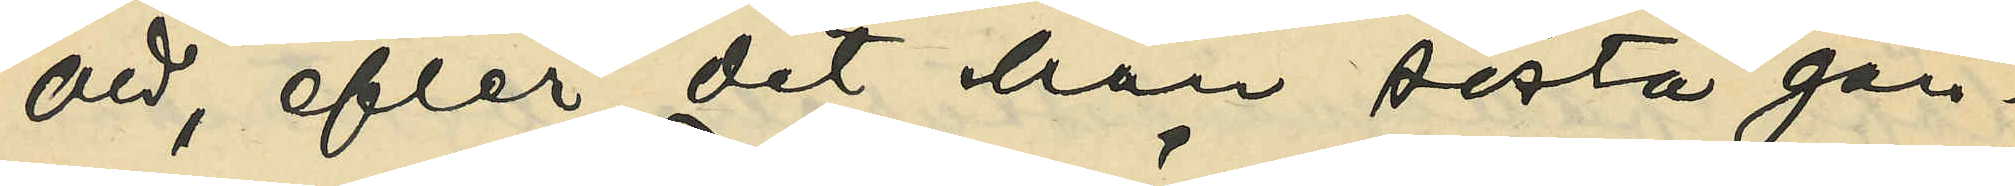att, efter det han sista gån¬
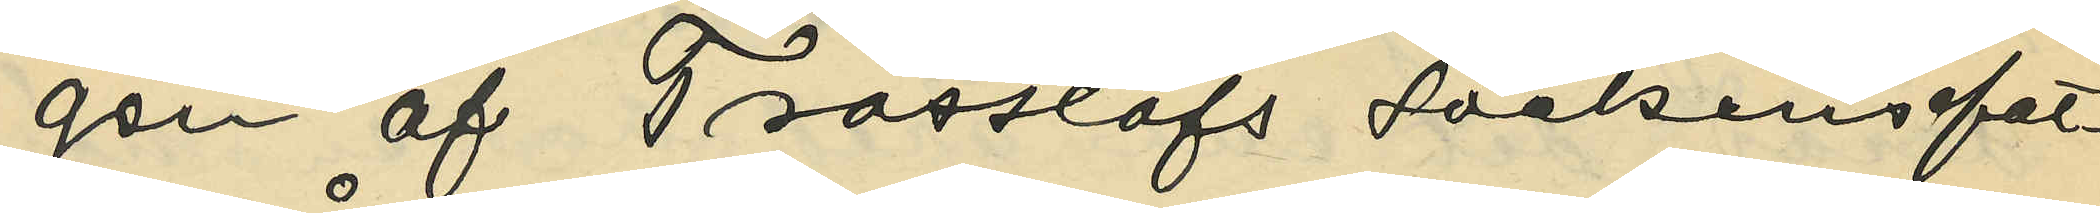gen af Trässlöfs sockens fat¬
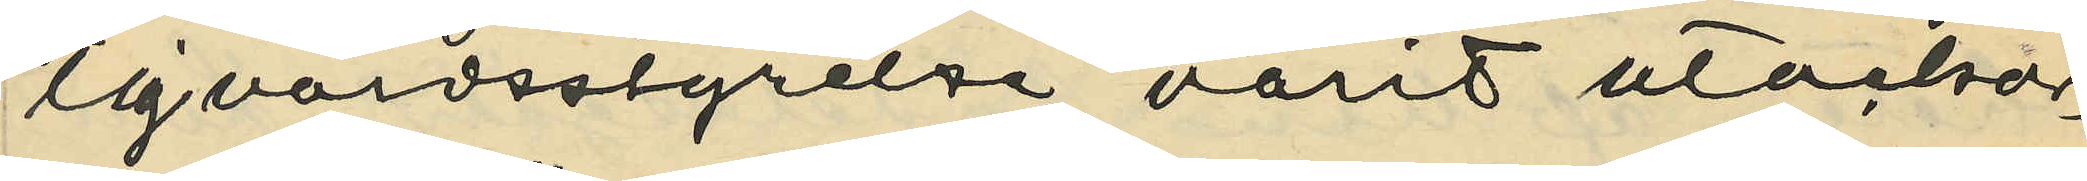tigvårdsstyrelse varit utackor¬
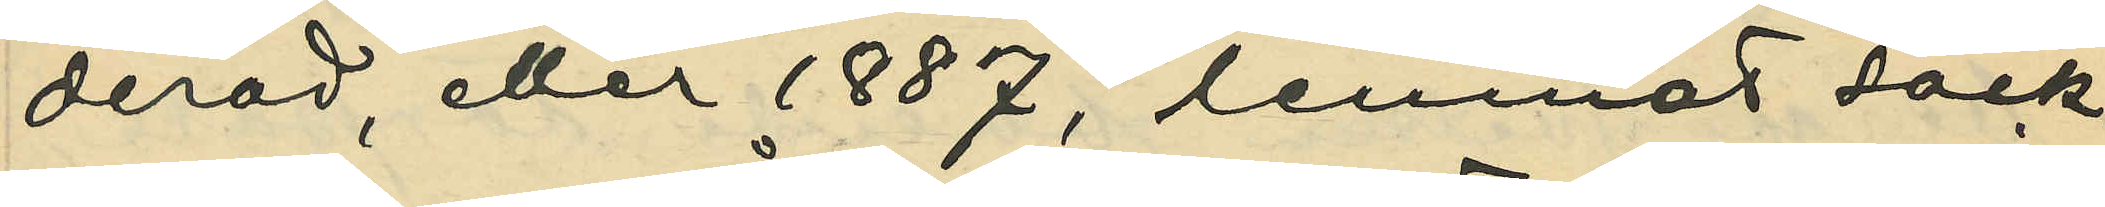derad, eller 1887, lemnat sock¬
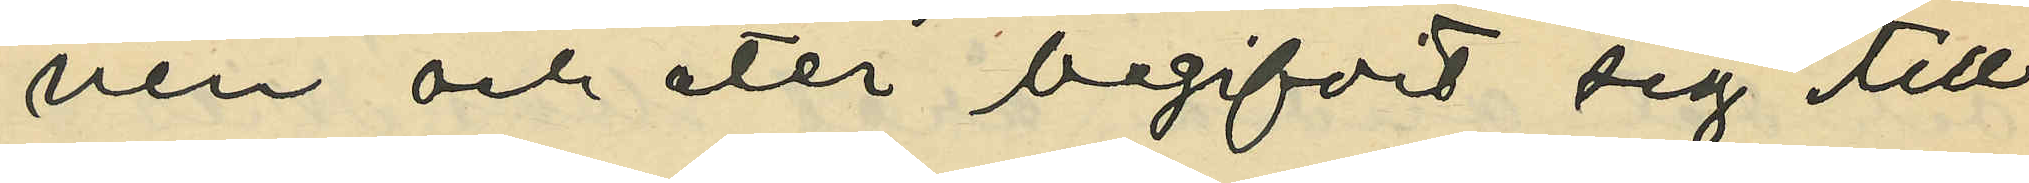nen och åter begifvit sig till
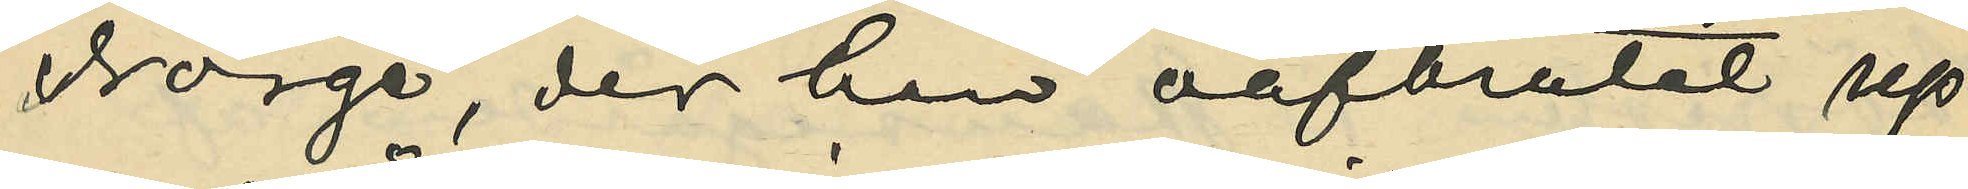Norge, der han oafbrutet up¬
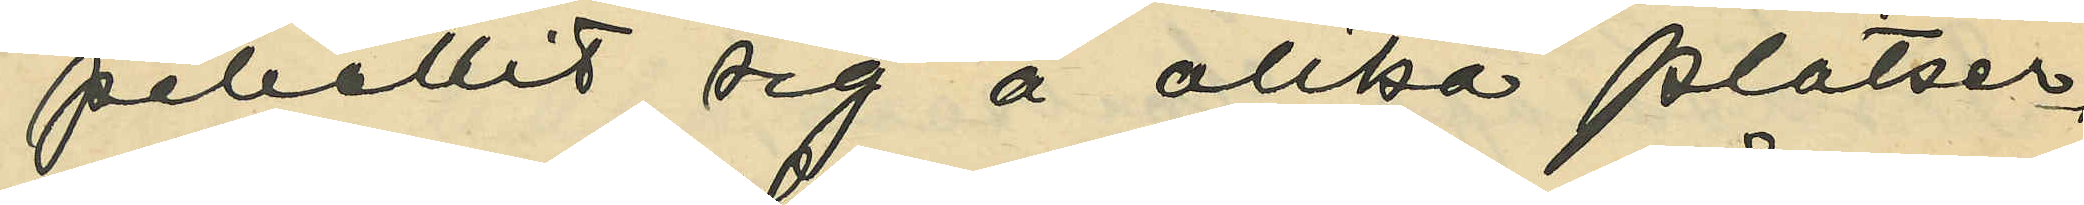pehållit sig å olika platser,
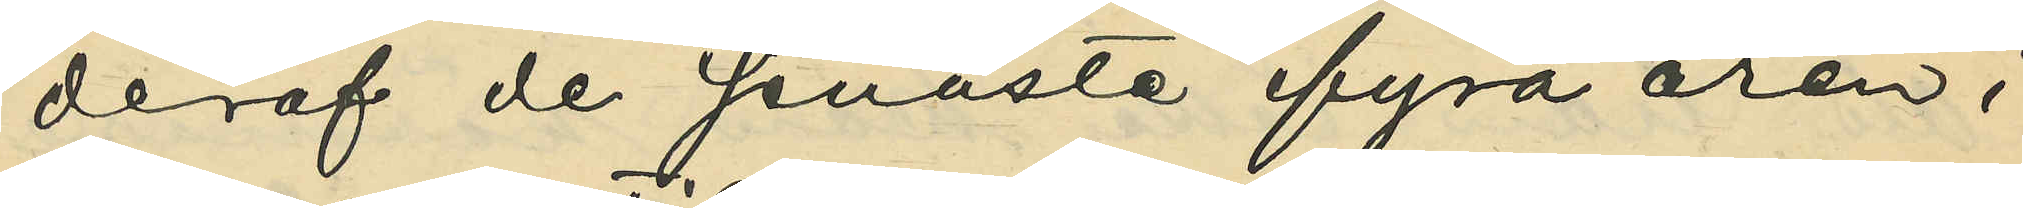deraf de senaste fyra åren i
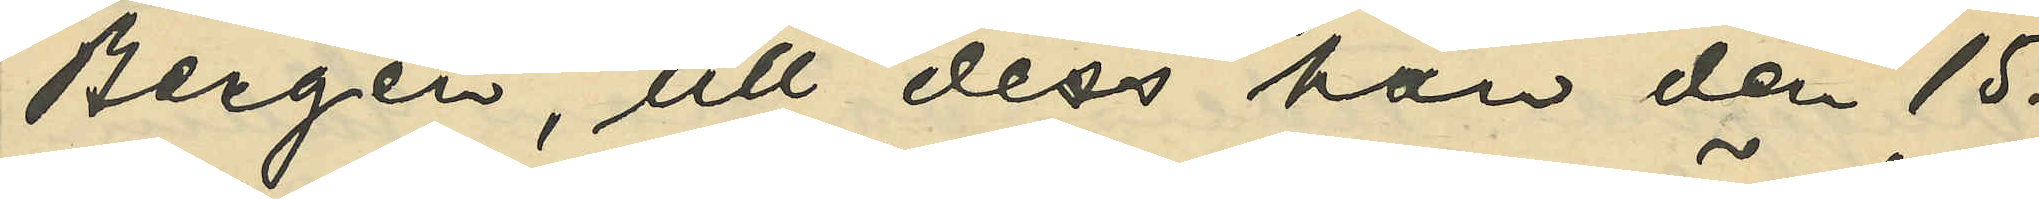Bergen, till dess han den 15.
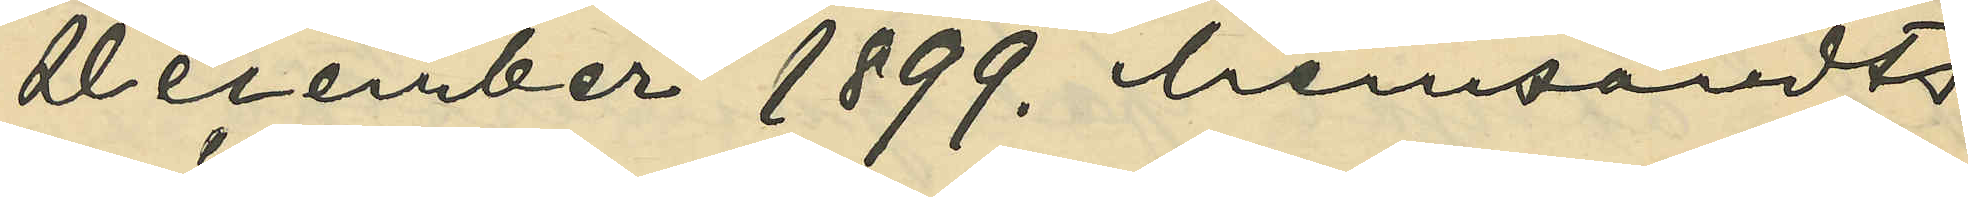December 1899. hemsändts
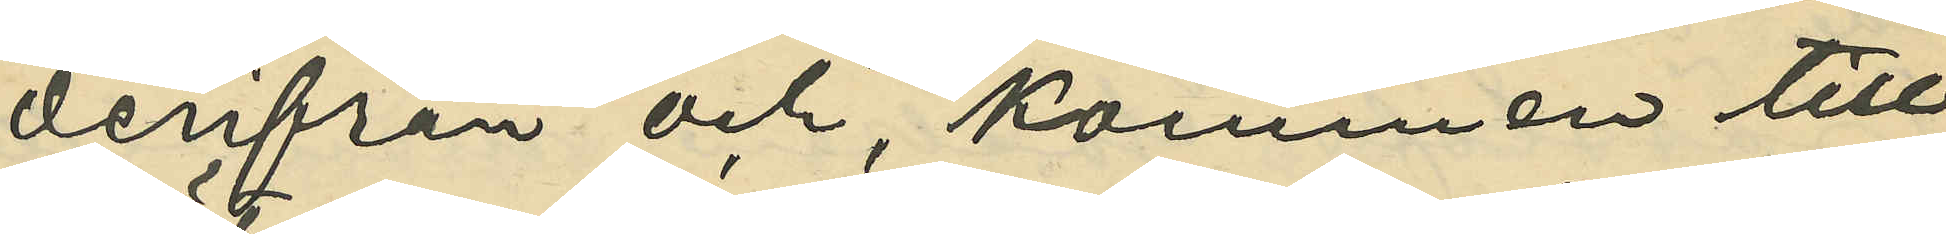derifrån och, kommen till
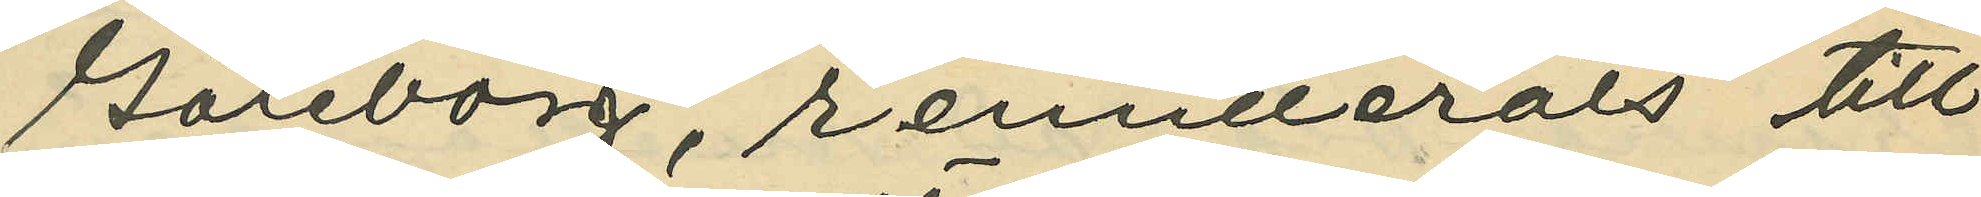Göteborg, remitterats till
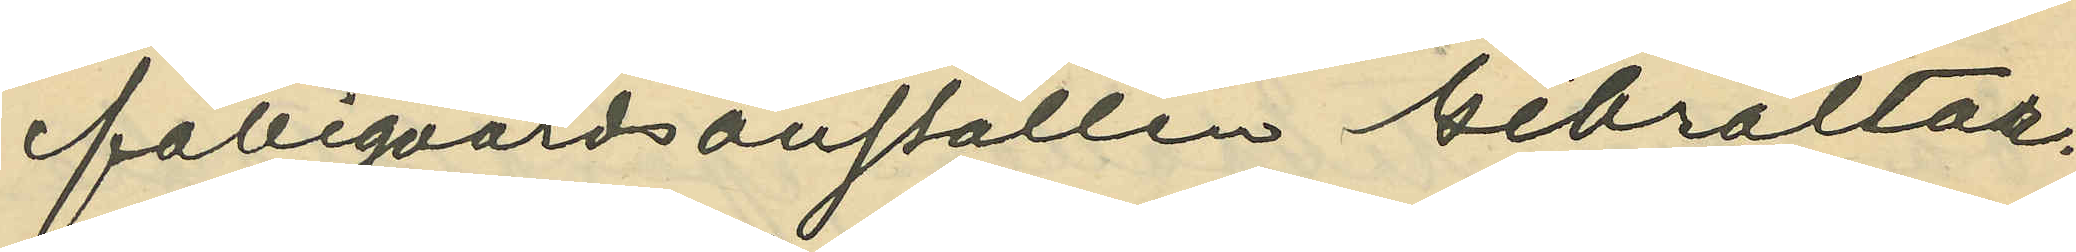fattigvårdsanstalten Gibraltar.
